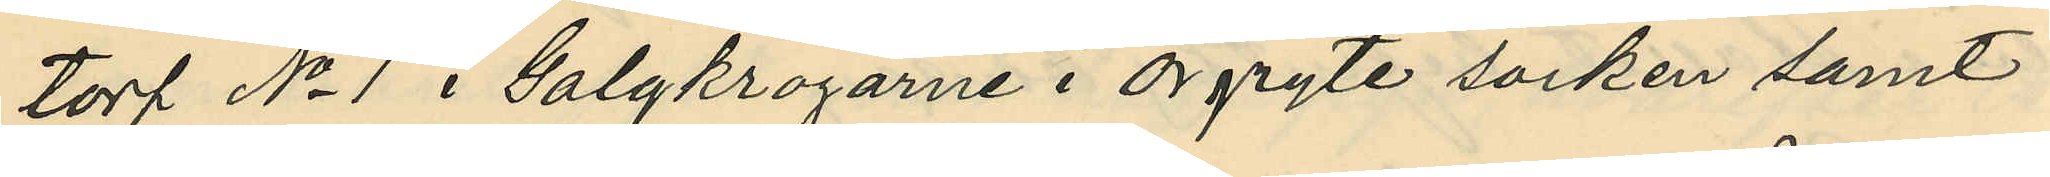torp No 1 i Galgkrogarne i Örgryte socken samt
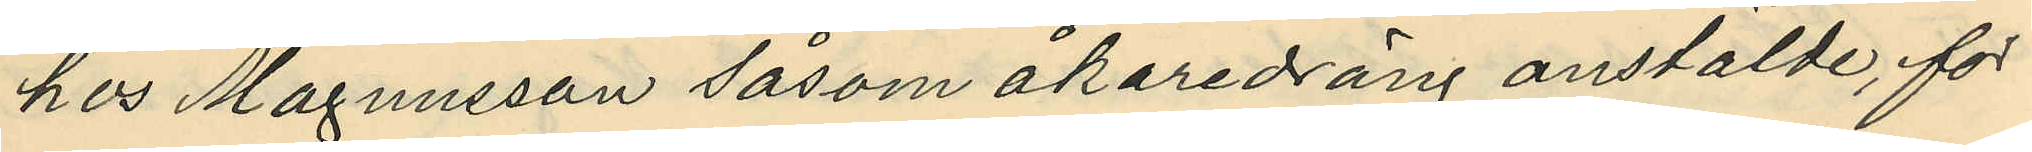hos Magnusson såsom åkaredräng anstälde, för
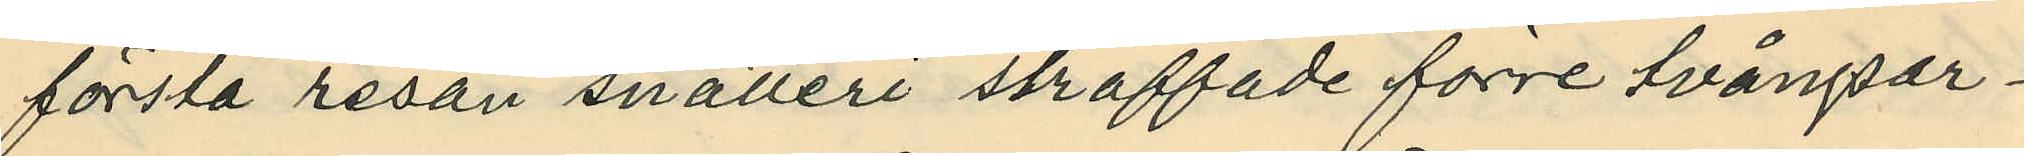första resan snatteri straffade förre tvångsar¬
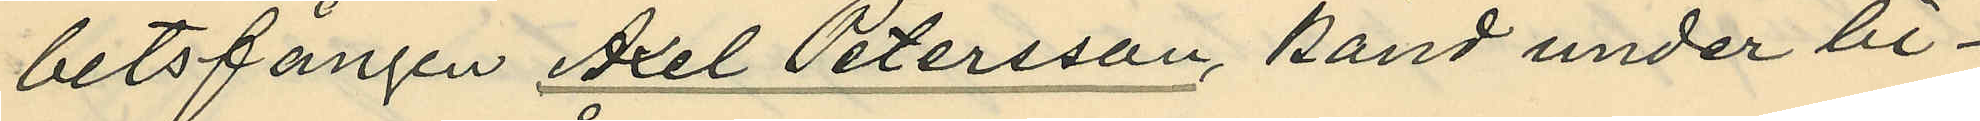betsfången Axel Petersson, känd under bi¬
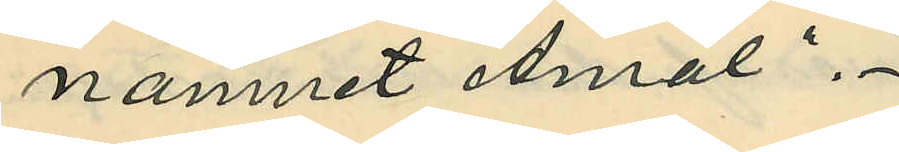namnet "Åmål".
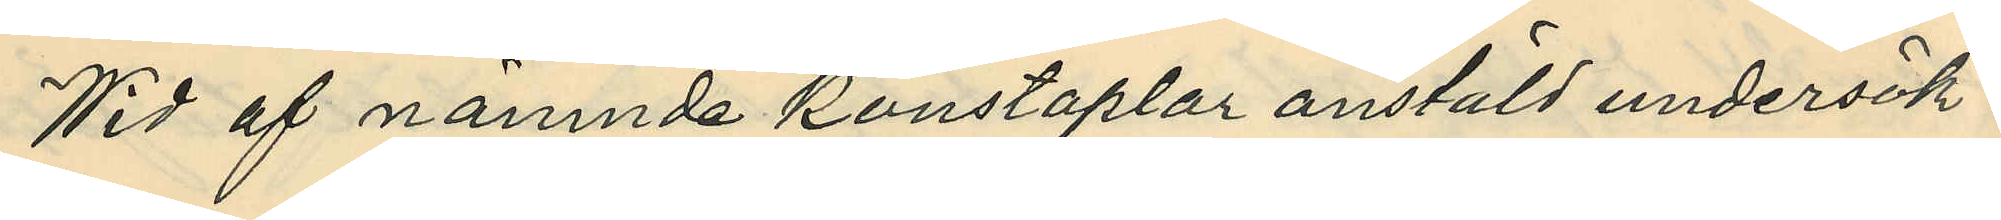Wid af nämnde konstaplar anstäld undersök¬
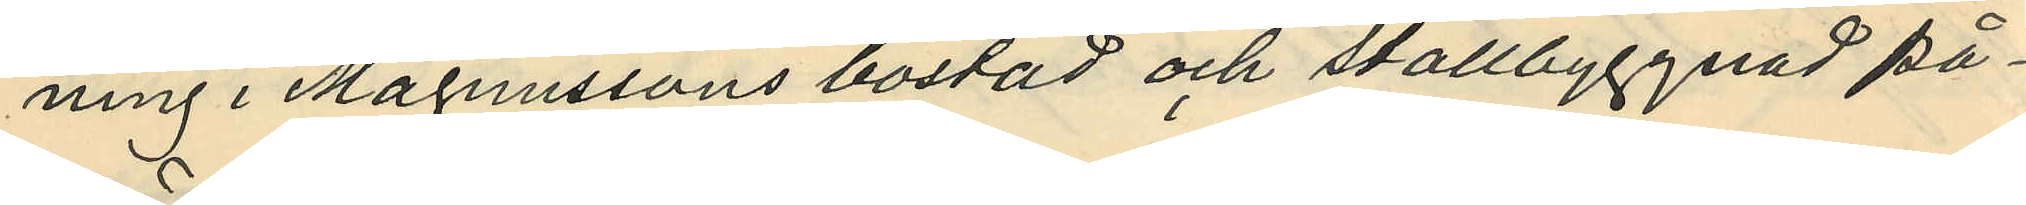ning i Magnussons bostad och stallbyggnad på¬
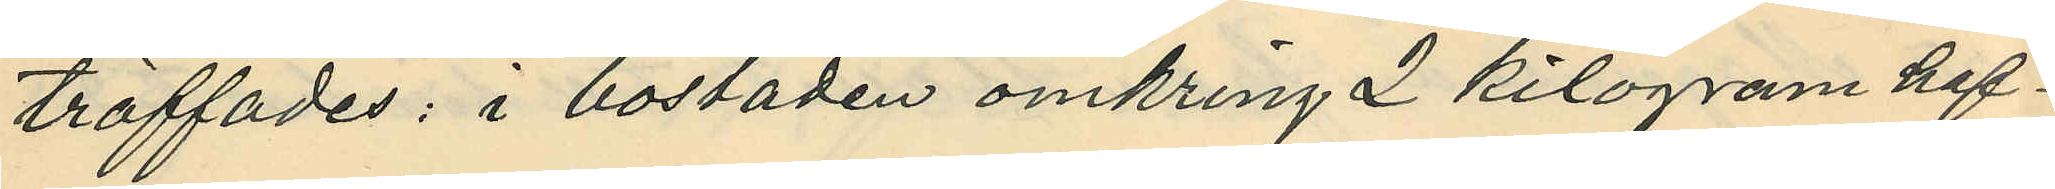träffades: i bostaden omkring 2 kilogram haf¬
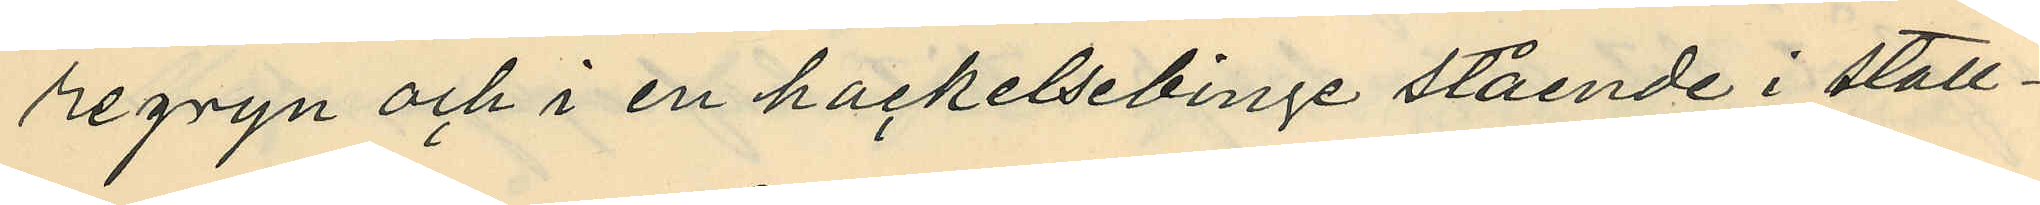regryn och i en hackelsebinge stående i stall¬
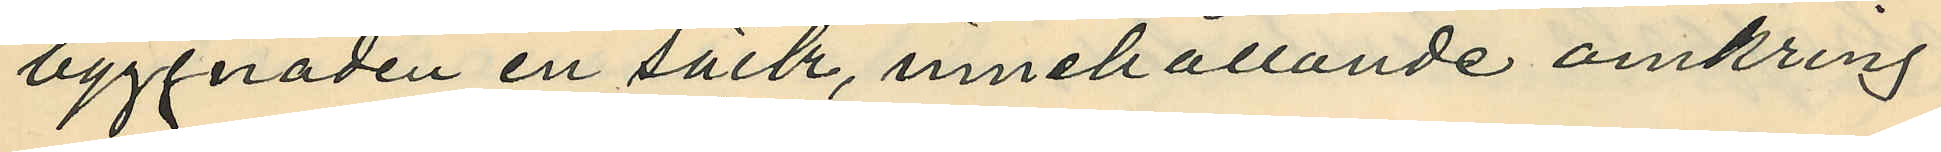byggnaden en säck, innehållande omkring
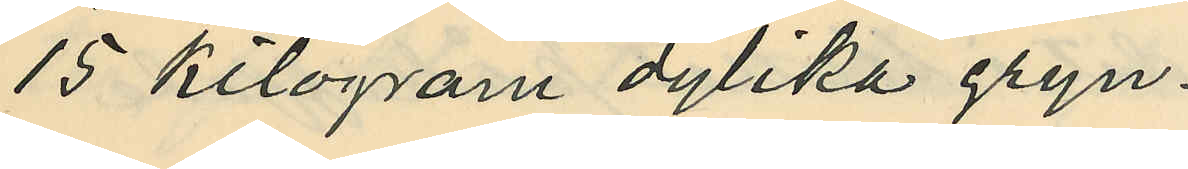15 kilogram dylika gryn.
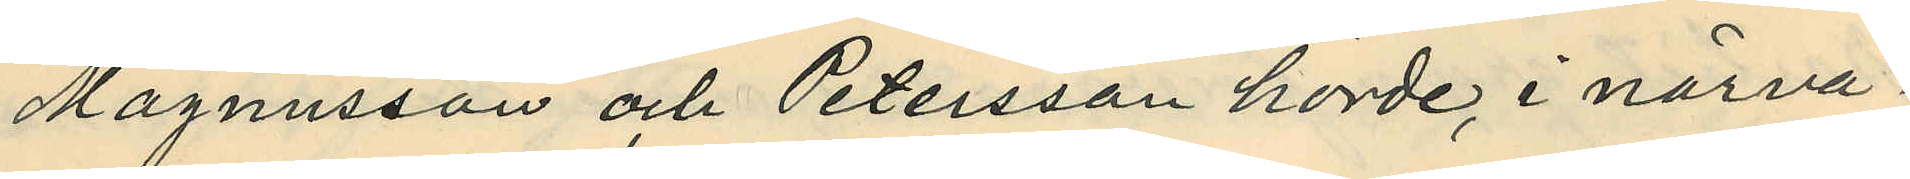Magnusson och Petersson hörde i närva¬
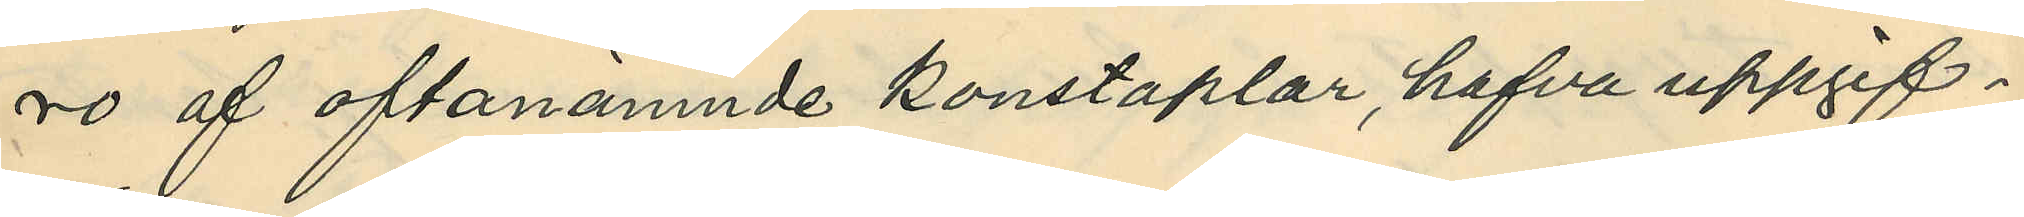ro af oftanämnde konstaplar, hafva uppgif¬
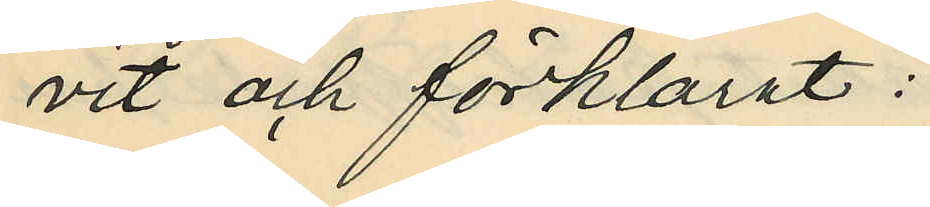vit och förklarat:
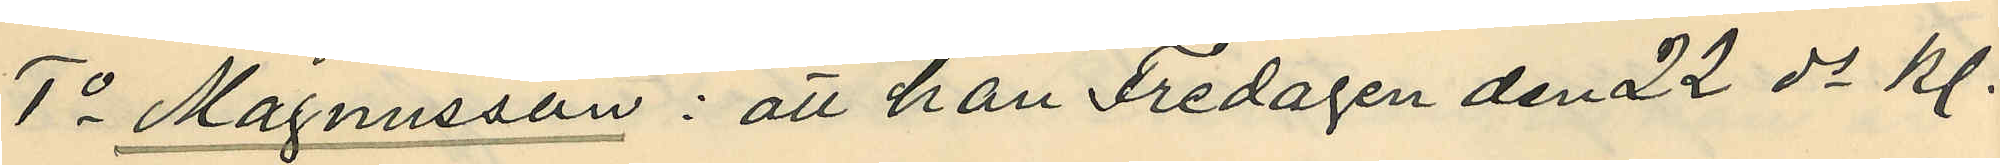1o Magnusson: att han Fredagen den 22 ds kl.
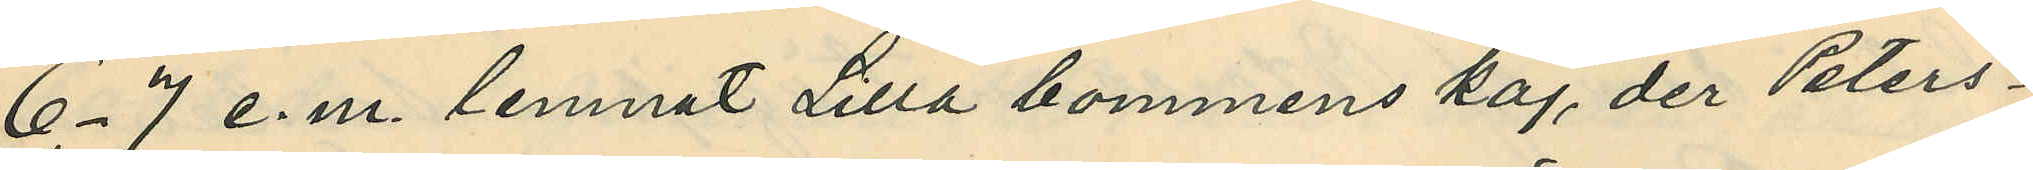6-7 e.m. lemnat Lilla bommens kaj, der Peters¬
